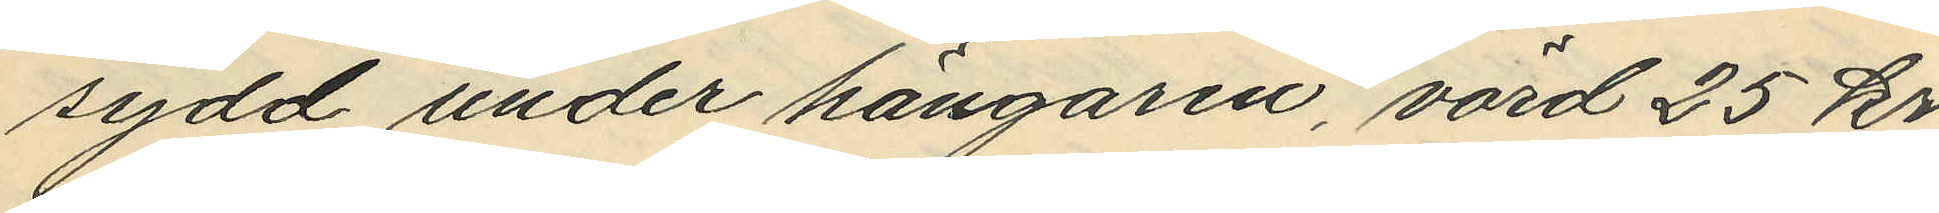sydd under hängaren, värd 25 kr.
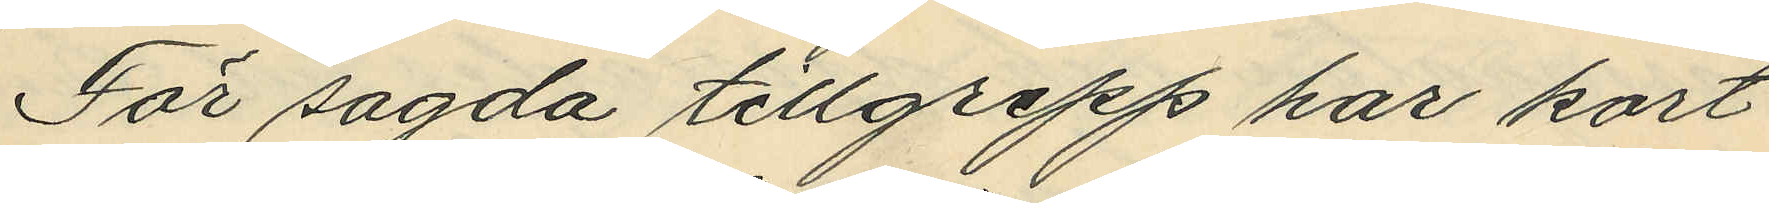För sagda tillgrepp har kort
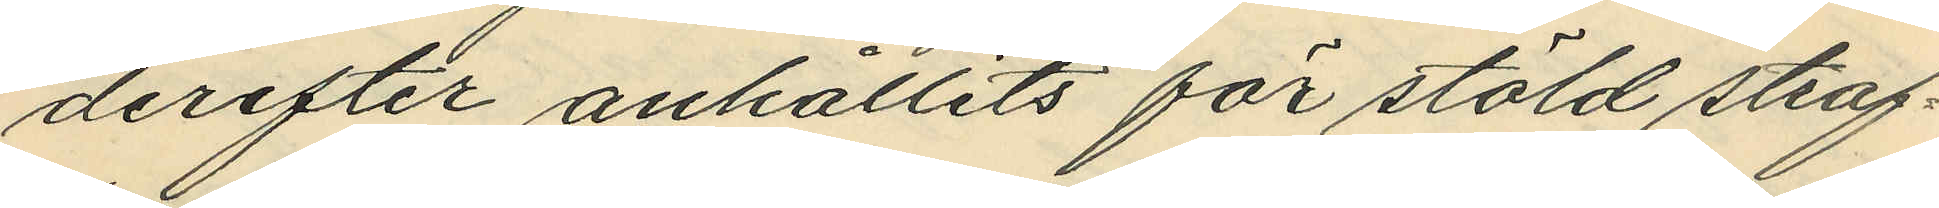derefter anhållits för stöld straf¬
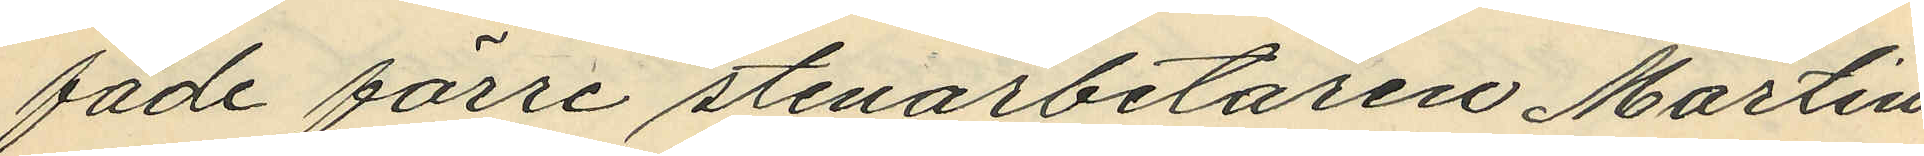fade förre stenarbetaren Martin
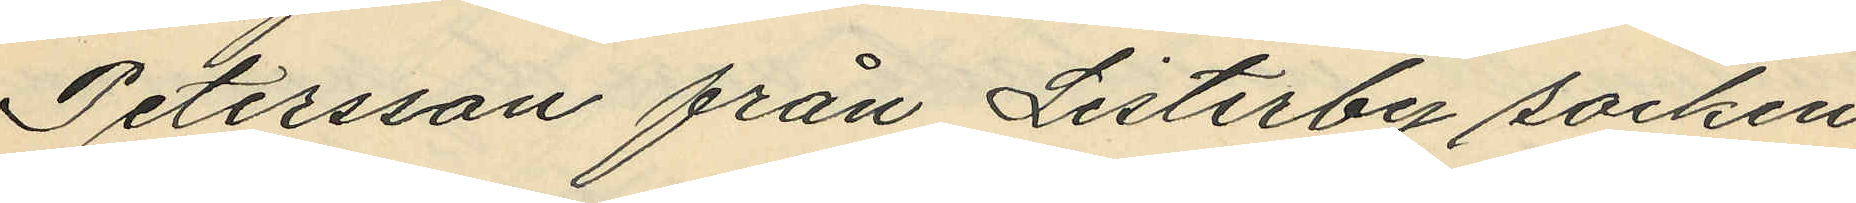Petersson från Listerby socken
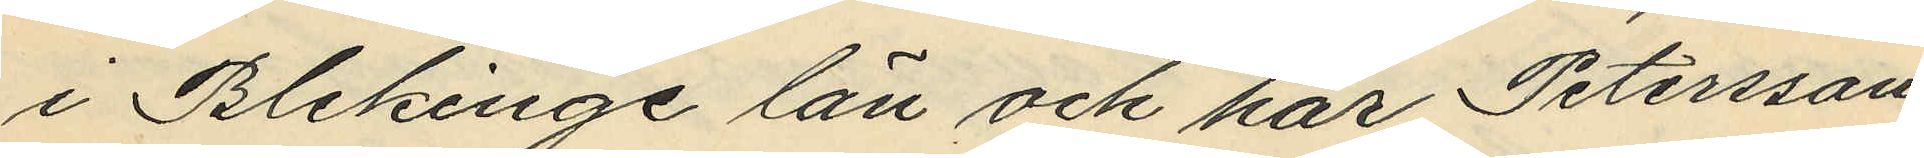i Blekinge län och har Petersson,
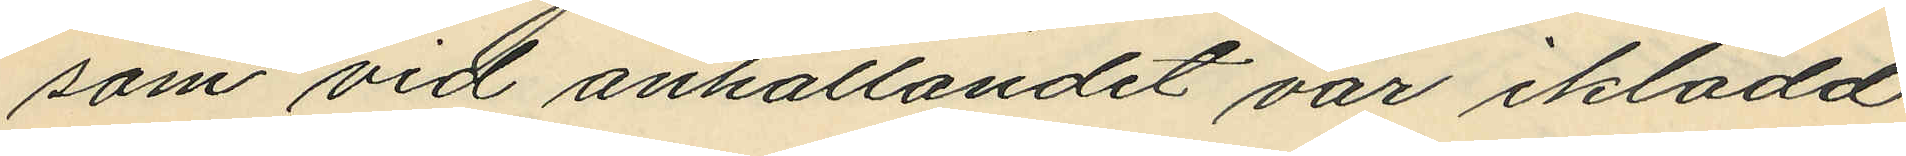som vid anhållandet var iklädd
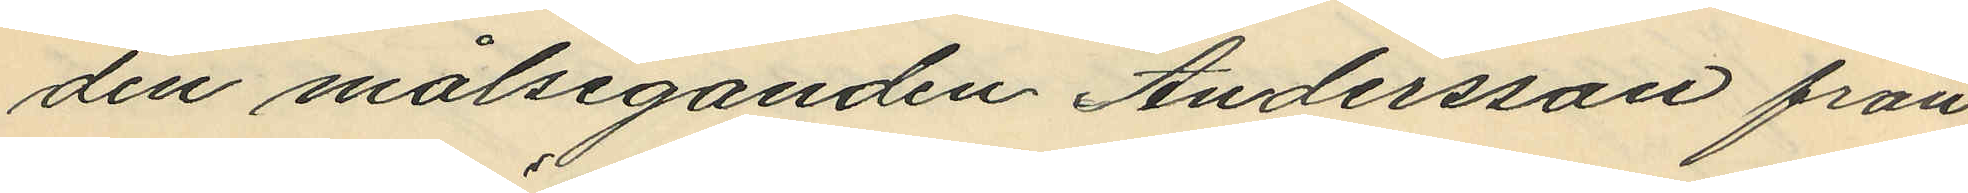den målseganden Andersson från¬
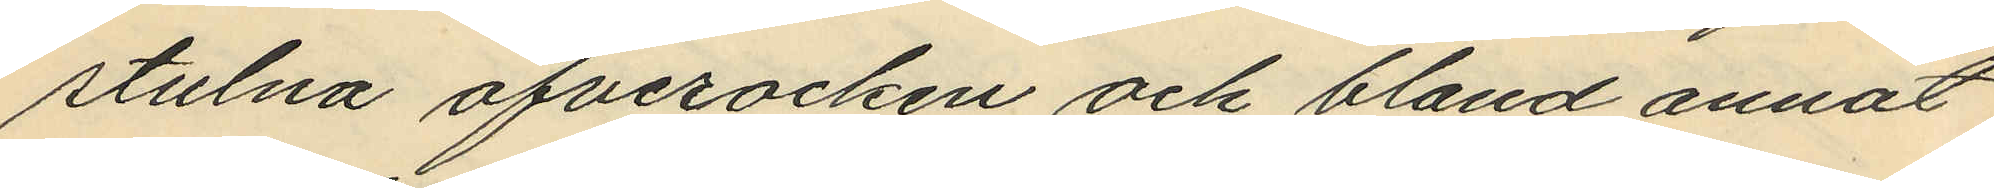stulna öfverrocken och bland annat
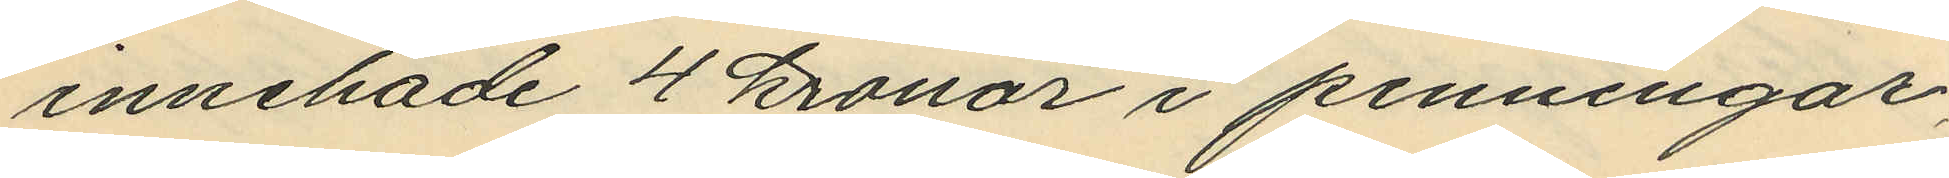innehade 4 kronor i penningar
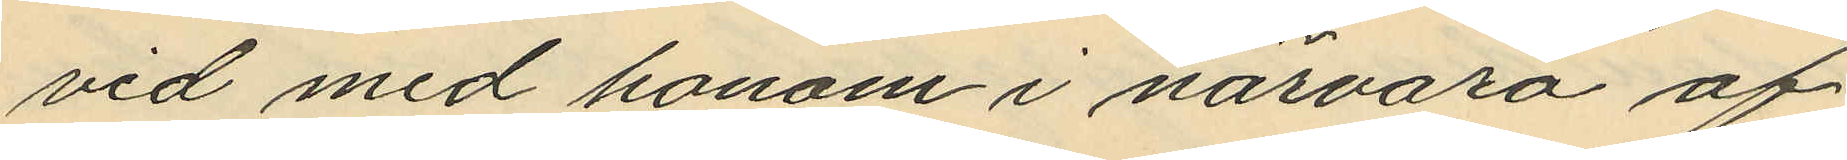vid med honom i närvaro af
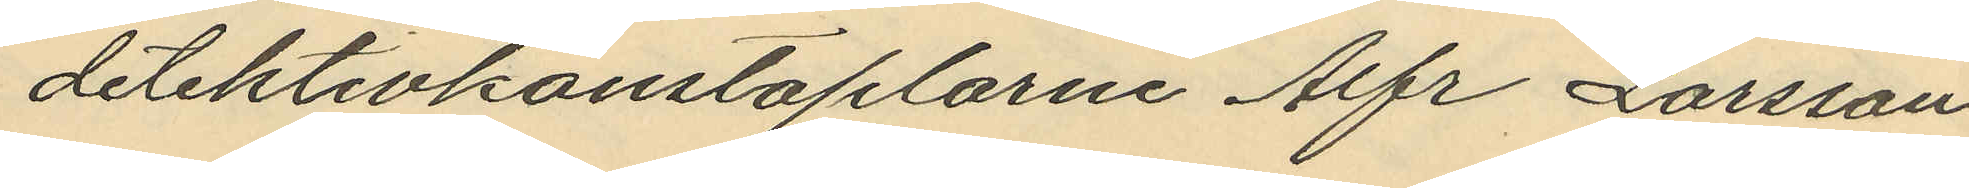detektivkonstaplarne Alfr Larsson
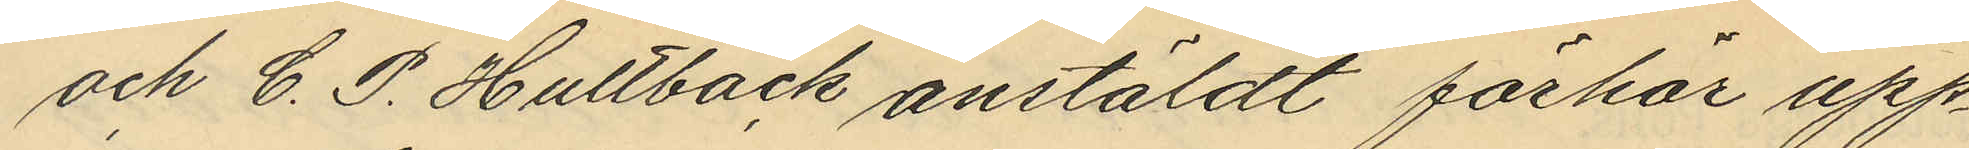och C. P. Hultbäck anstäldt förhör upp¬
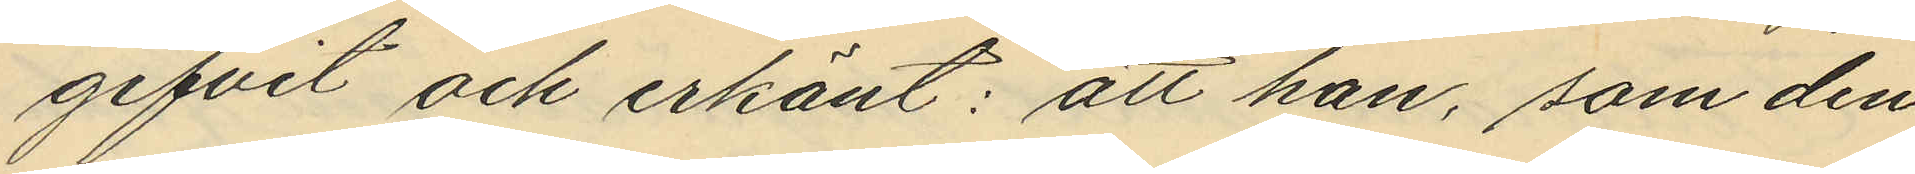gifvet och erkänt: att han, som den
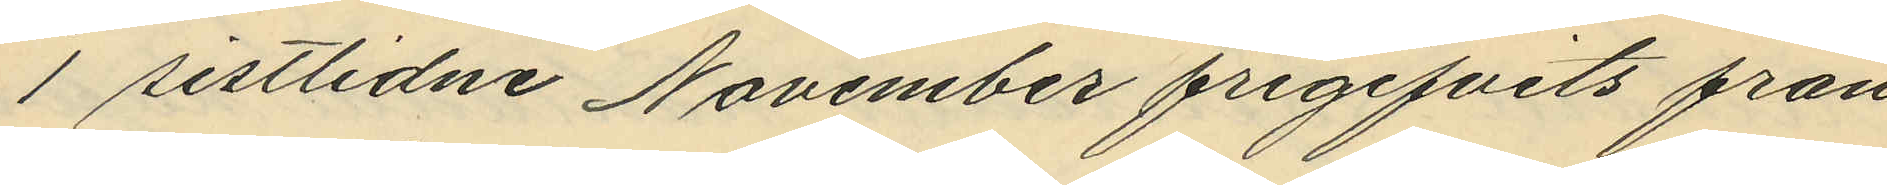1 sistlidne November frigifvits från
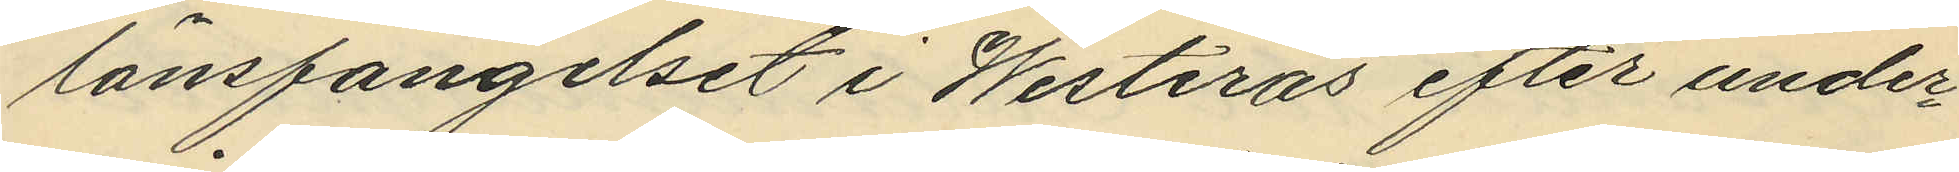länsfängelset i Westerås efter under¬
